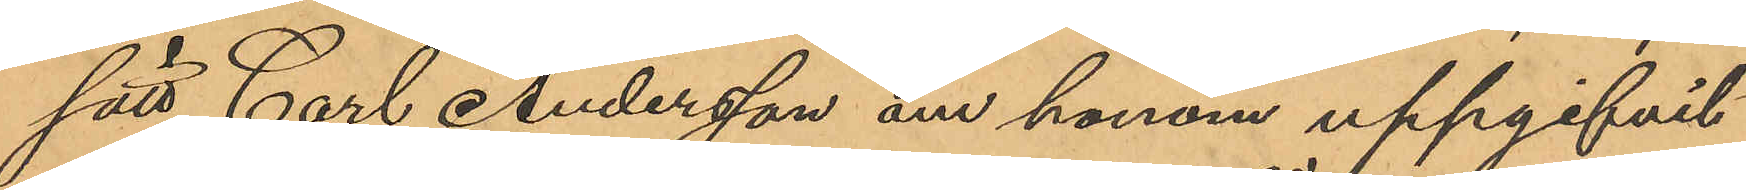sätt Carl Andersson om honom uppgifvit
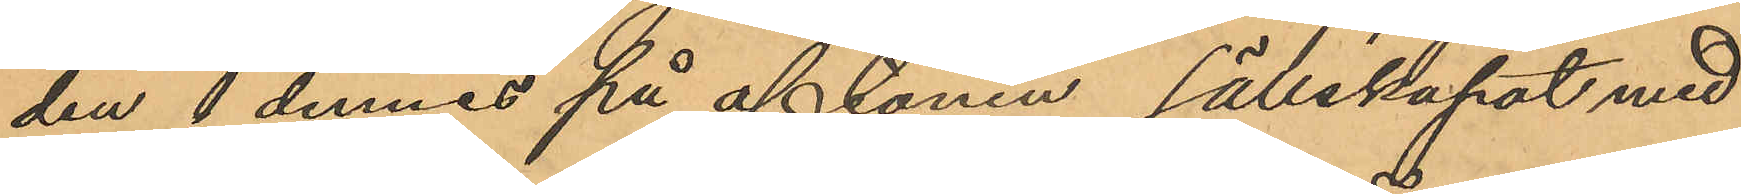den 1 dennes på aftonen sällskapat med
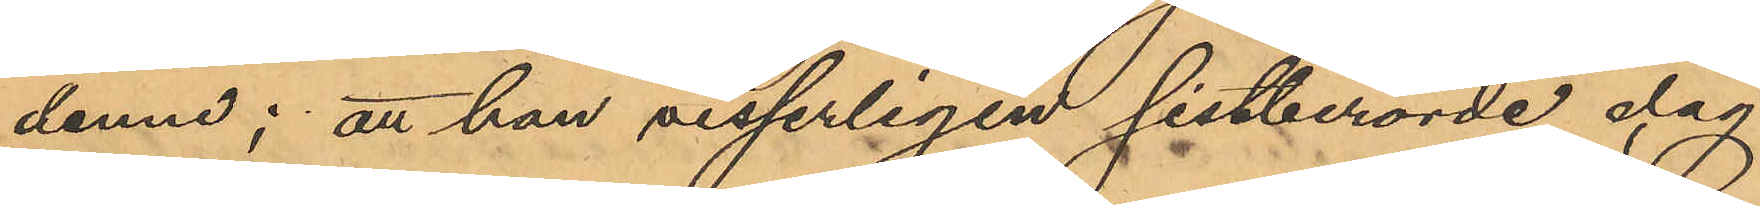denne; att han visserligen sistberörde dag
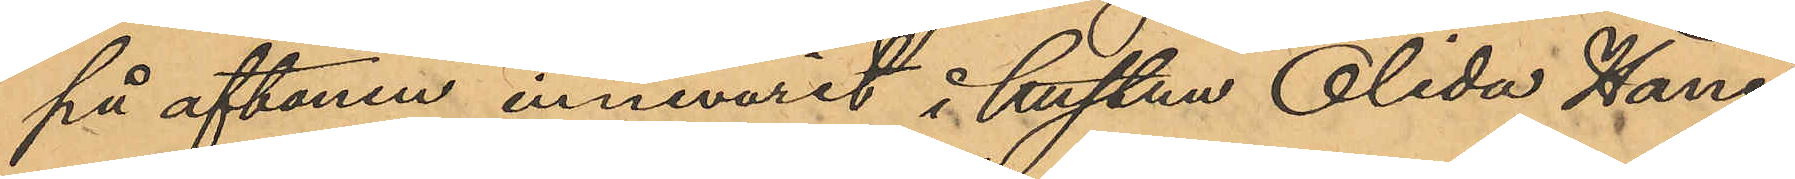på aftonen innevarit i hustru Olida Hanes
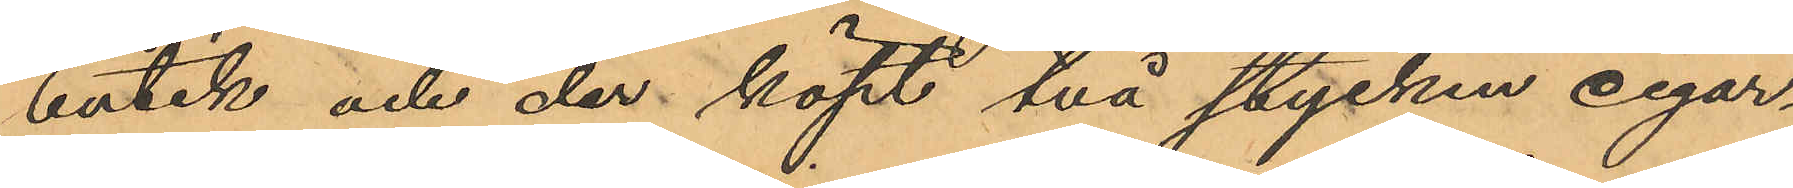butik och der köpt två stycken cigar¬
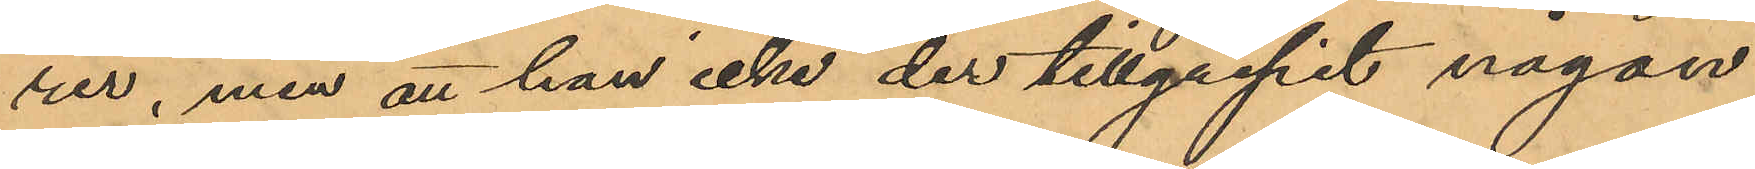rer, men att han icke der tillgripit någon
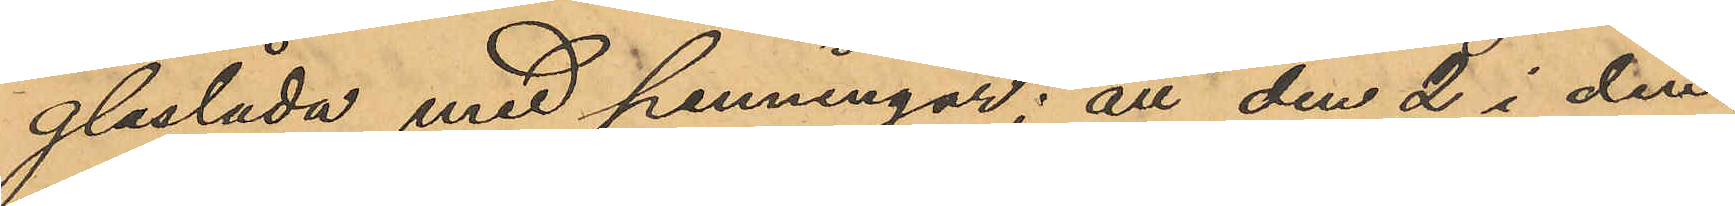glaslåda med penningar; att den 2 i den¬
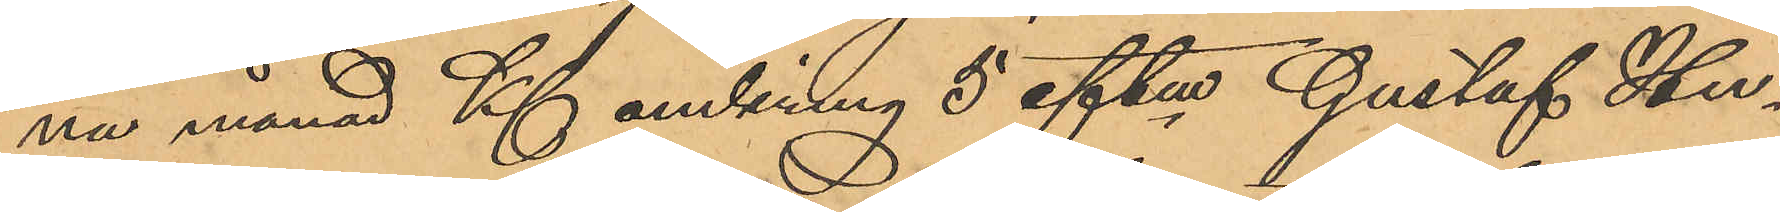na månad Kl omkring 5 eftm Gustaf Hu¬
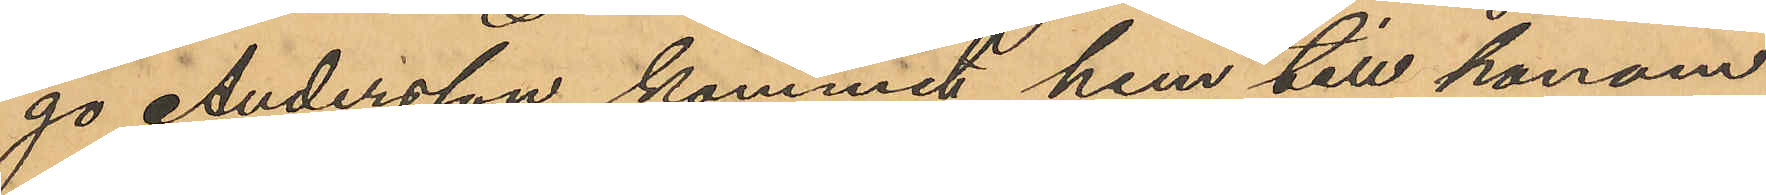go Andersson kommit hem till honom
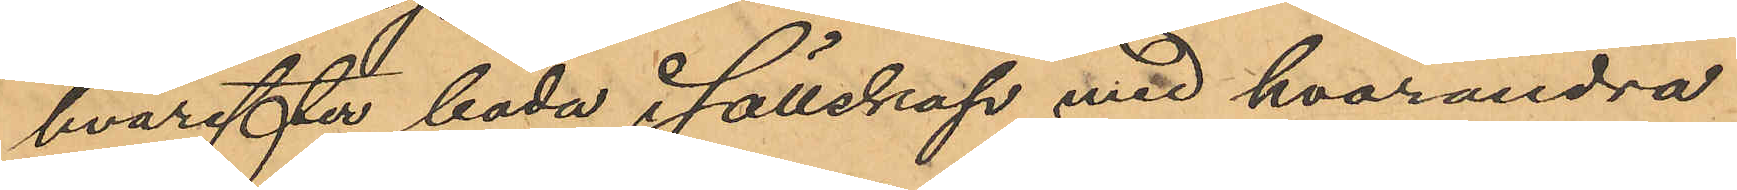hvarefter båda i sällskap med hvarandra
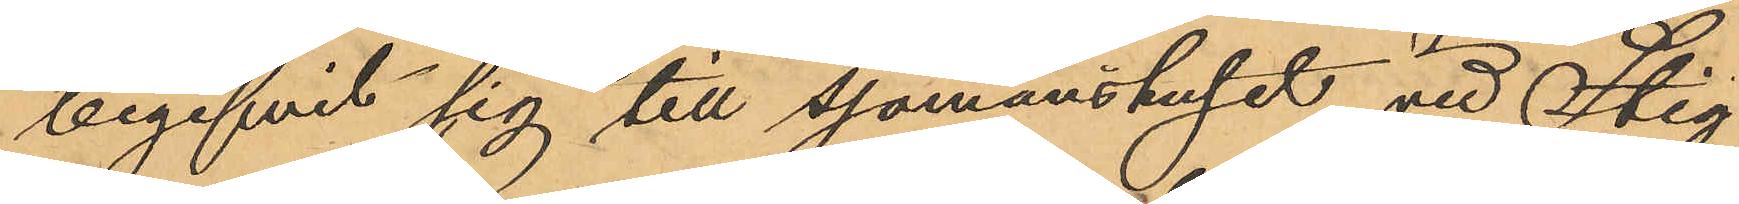begifvit sig till sjömanshuset vid Stig¬
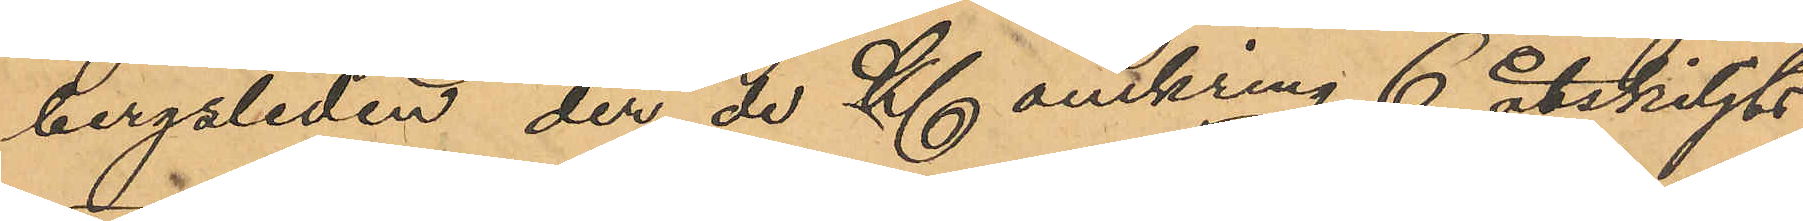bergsliden, der de Kl omkring 6 åtskiljts,
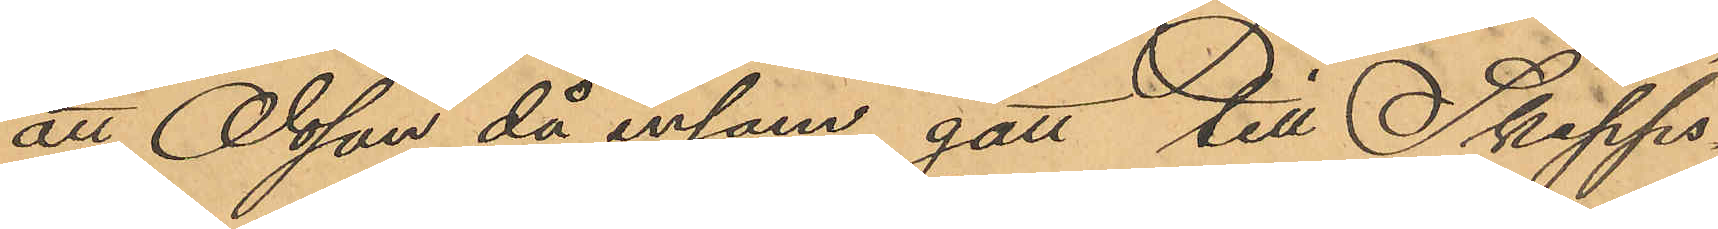att Olsson då ensam gått till Skepps¬
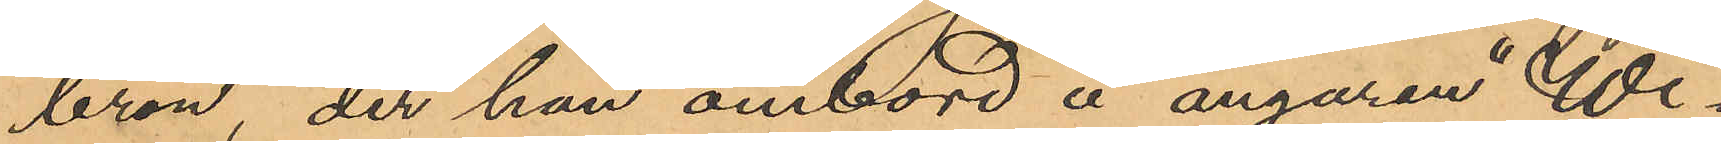bron, der han ombord å ångaren "Wi¬
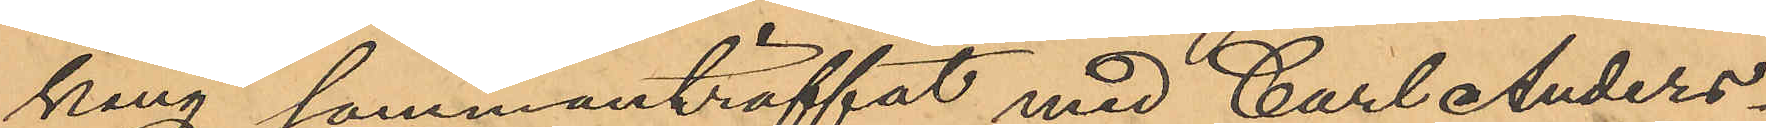king" sammanträffat med Carl Anders¬
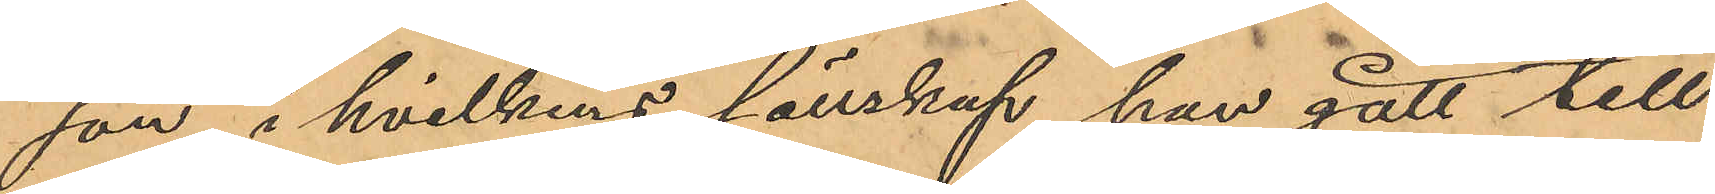son, i hvilkens sällskap han gått till
